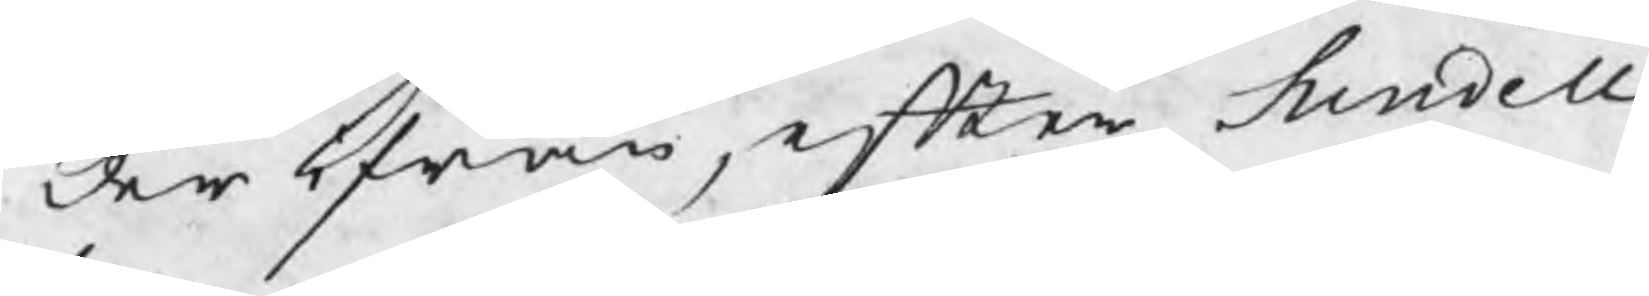der ifrån, efter Sundell
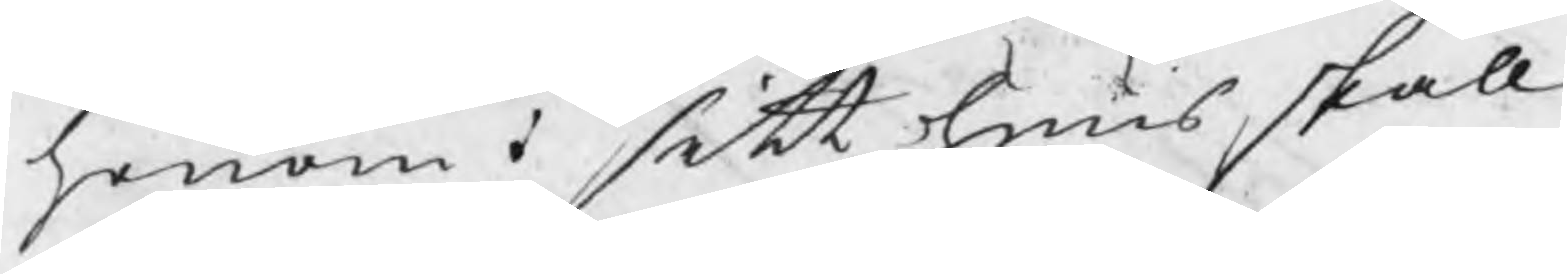honom i sitt huus skall
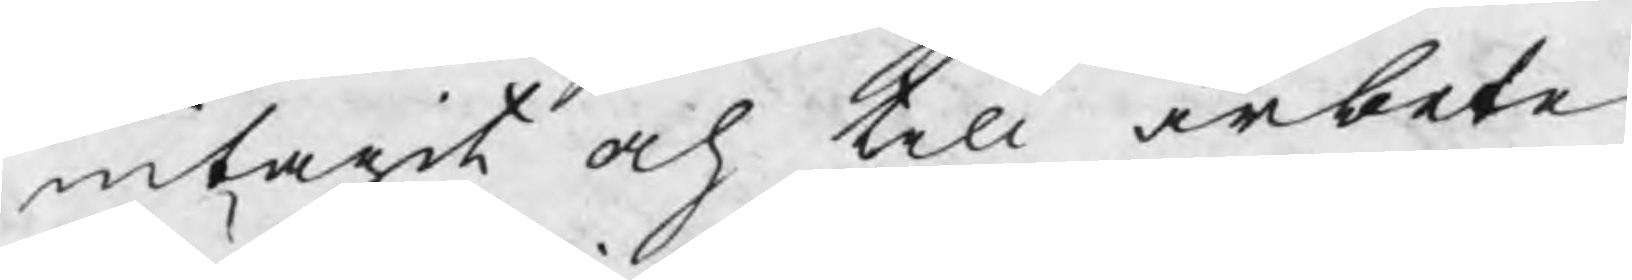intagit och till arbete
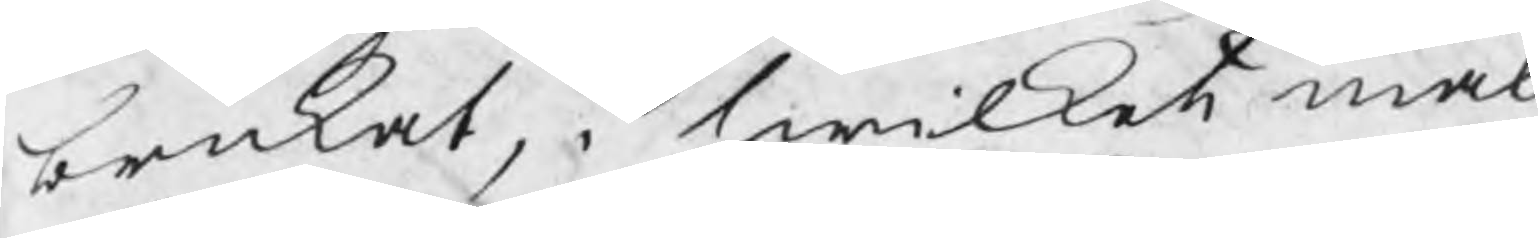brukat, i hwilket mål
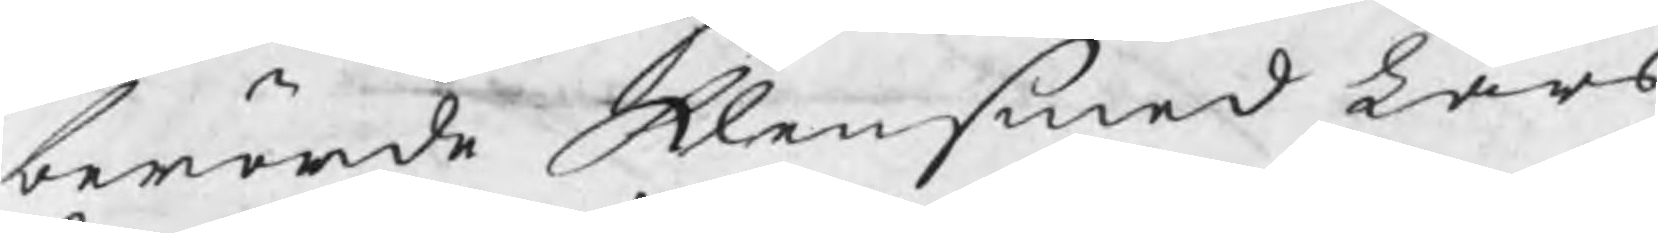berörde klensmed Lars
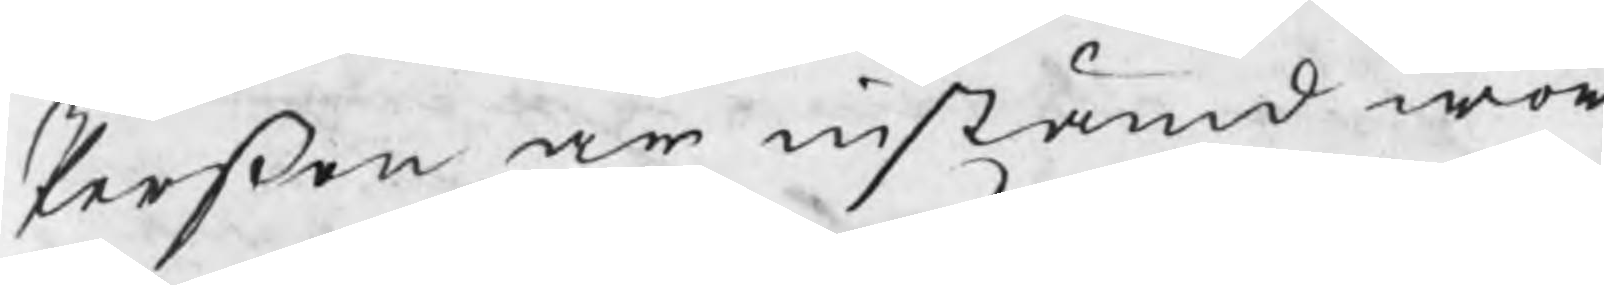Perßon är instämd wor¬
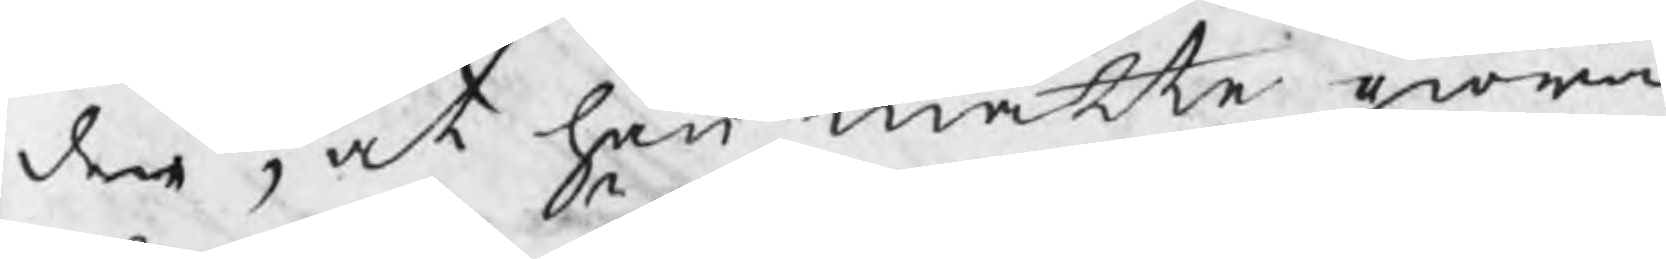den, at han måtte giöra
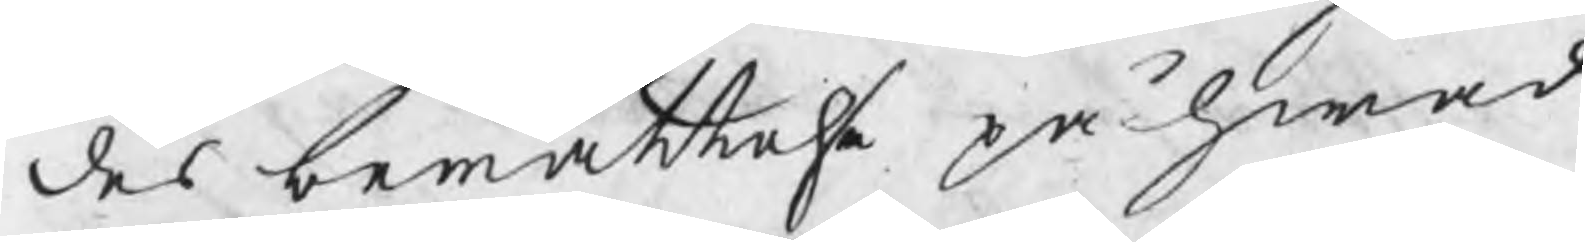des berättelse på hwad
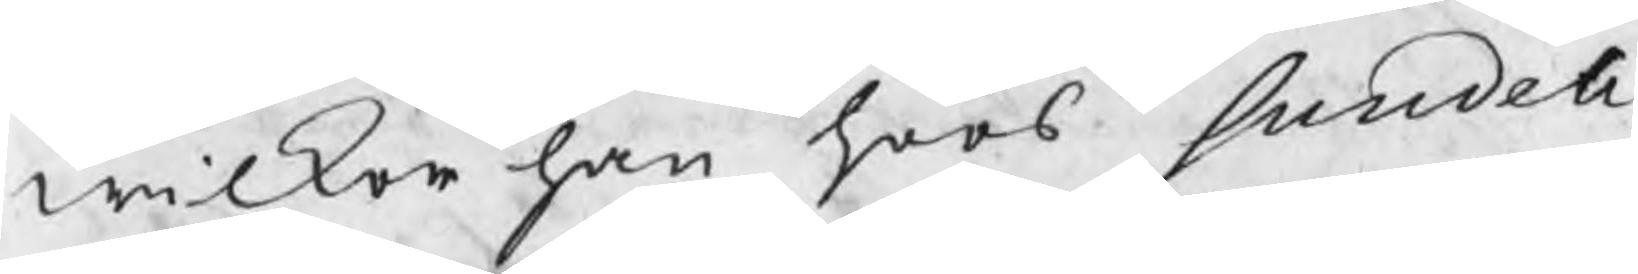wilkor han hoos Sundell
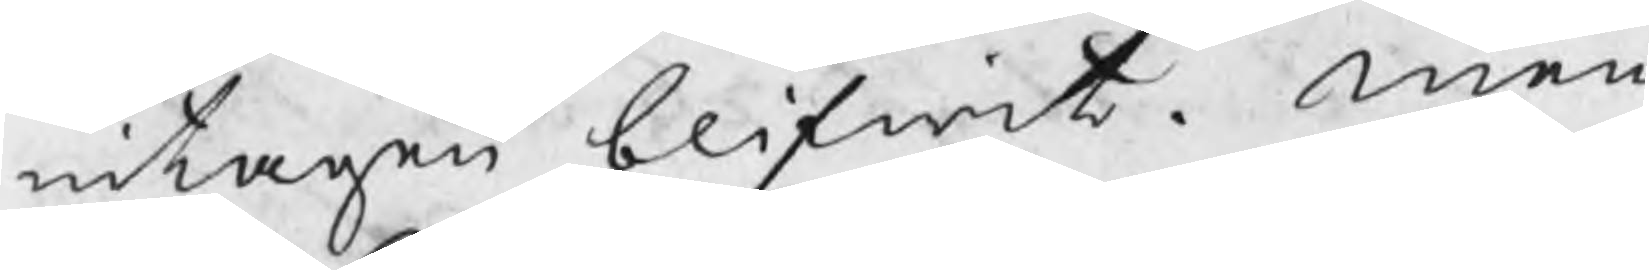intagen blifwit. men
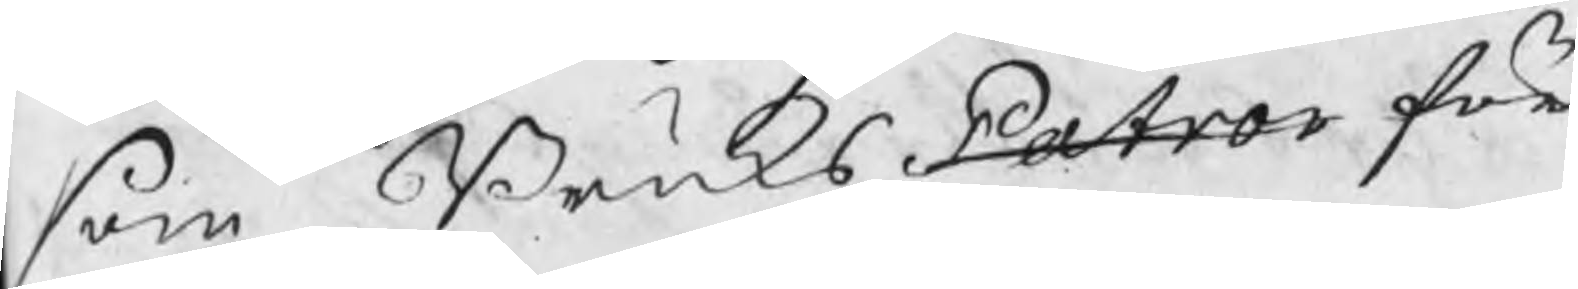som BruksPatron för
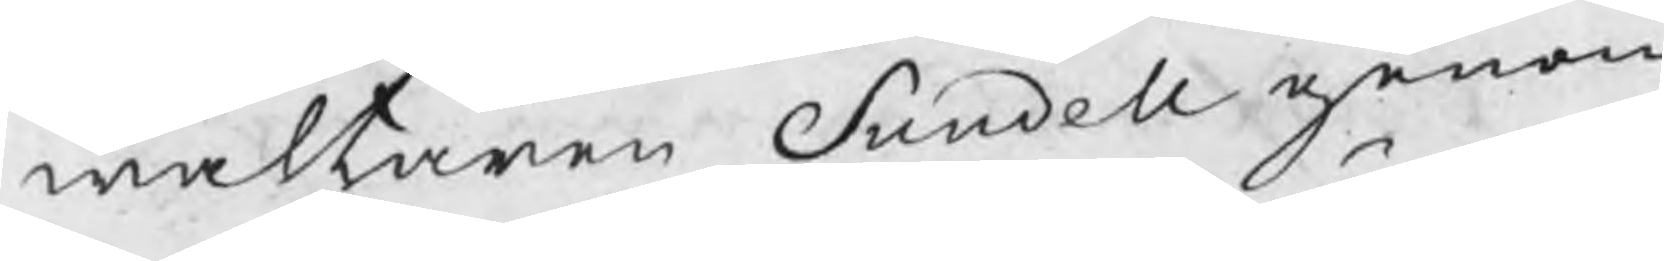waltaren Sundell genom
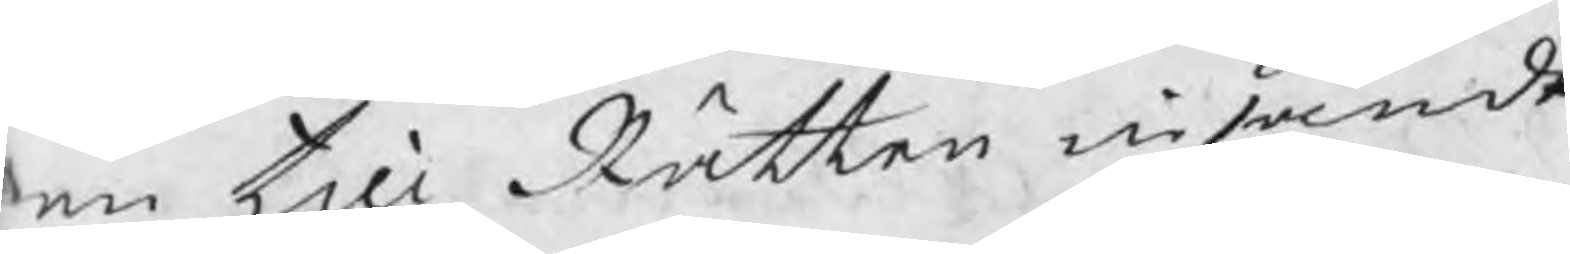en till Rätten insände
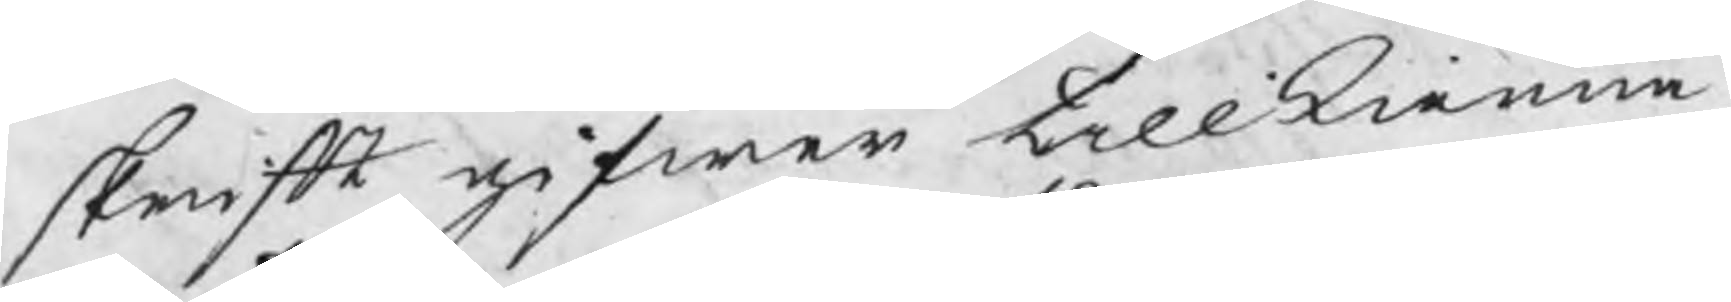skrift gifwer tillkienna,
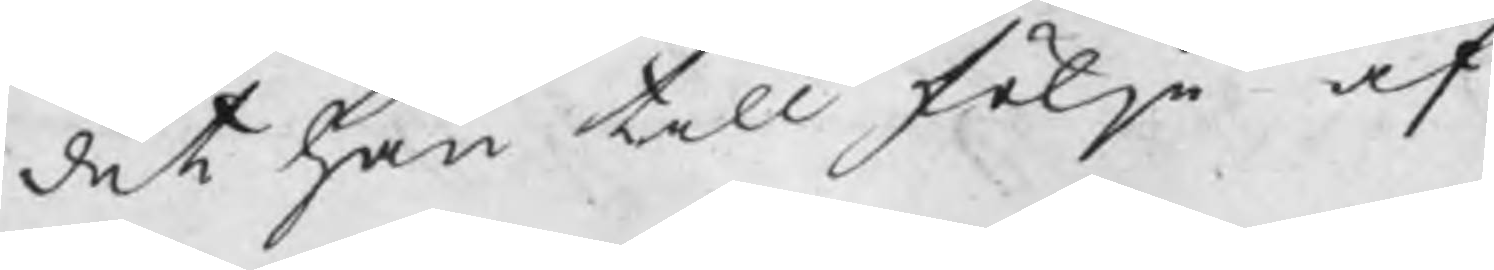det han till följe af
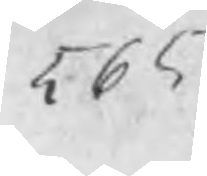565
